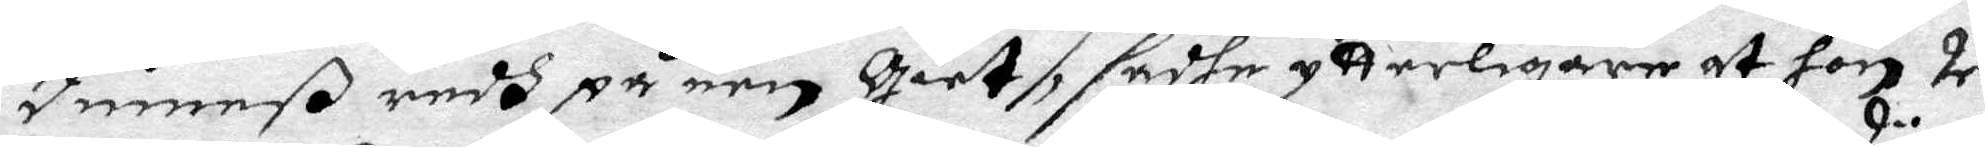Dimarß redh på een Giet, sadhe ytterligare at hon 2:ne
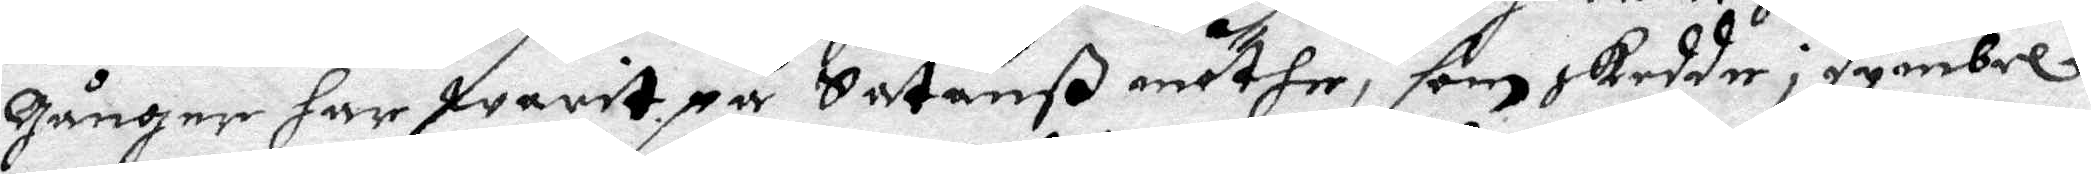gånger har warit på Satanß möthe, som skedde i Dymbel¬
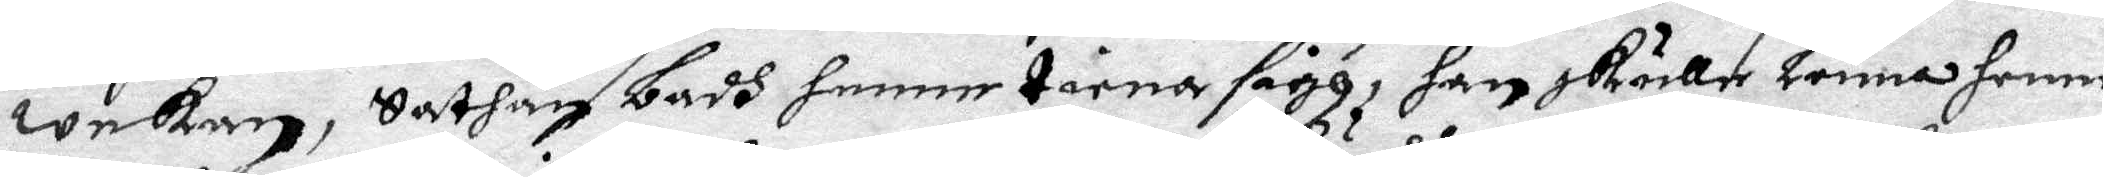wekan, Sathan badh henne tiena sigh, han skölle Lönna henne
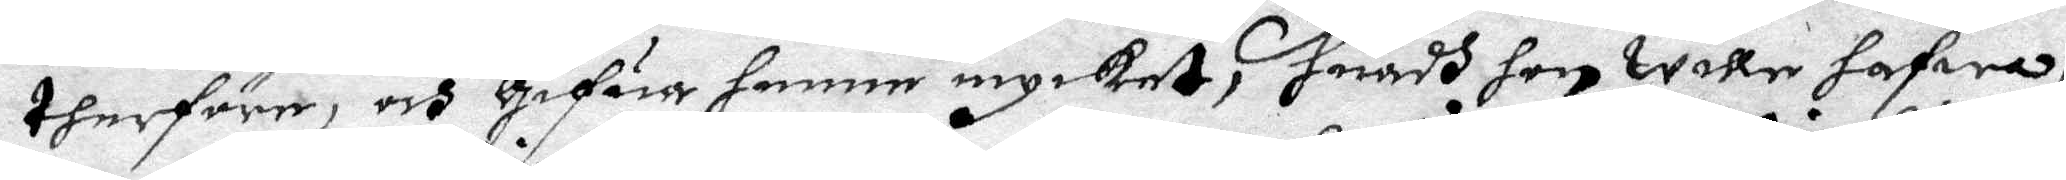therföre, och Gifua henne mycket, huadh hon wille hafwa,
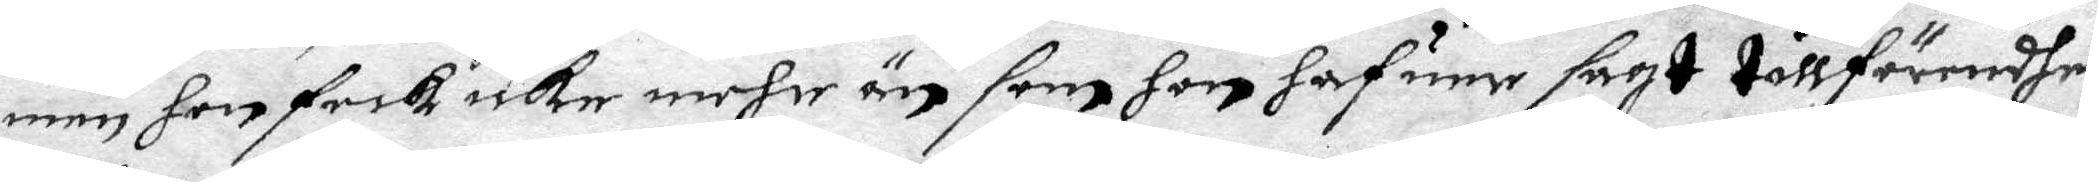men hon feck icke mehr än som hon hafuer sagt tillförendhe;
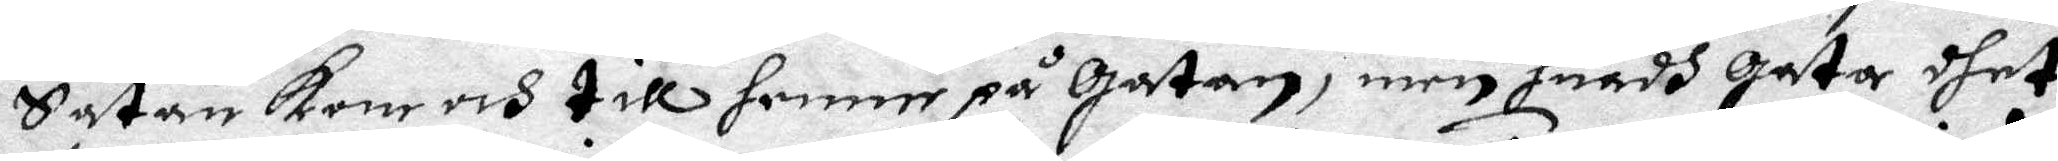Satan kom och till henne på Gatna, men huadh gata dhet
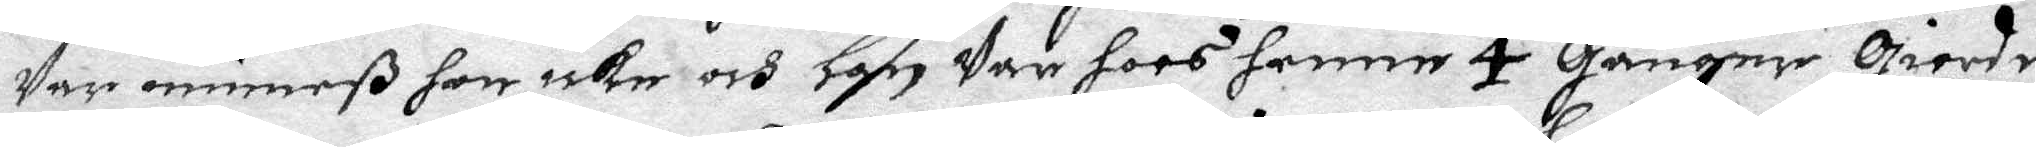Var minneß hon icke och Han Var hoos henne 4 Gånger Giorde
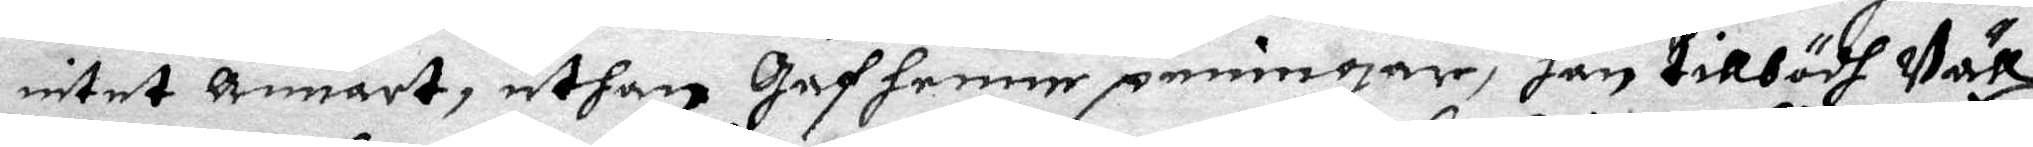intet annat, uthan Gaf henne penningar, han tillbödh Väll
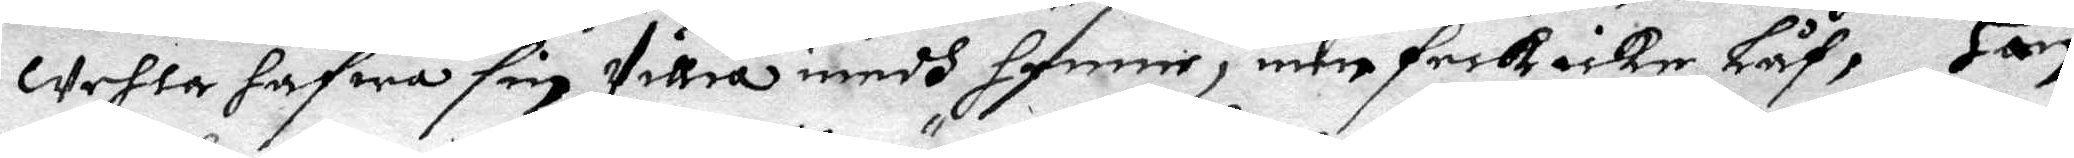wehla hfwa sin Villia medh henne, men feck icke Låf, Han
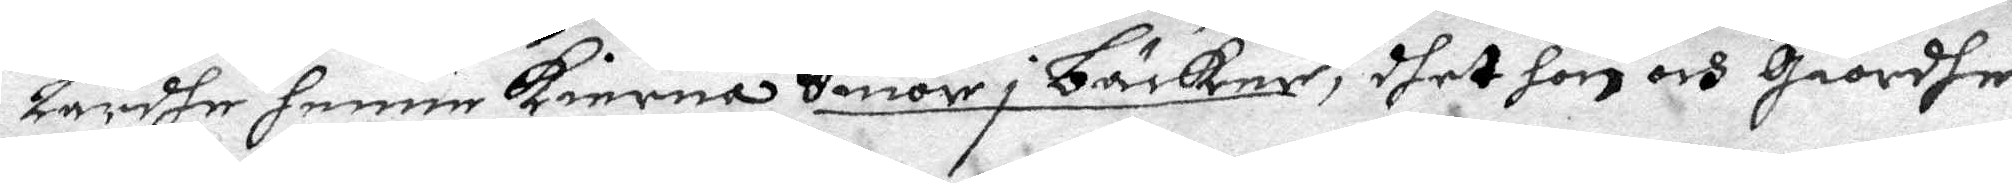Lärdhe henne kierna Smör i bäcker, dhet hon och Giordhe
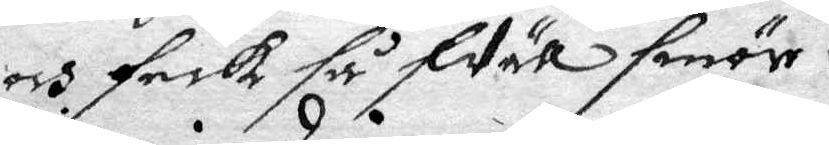och feck så fVäll smör.
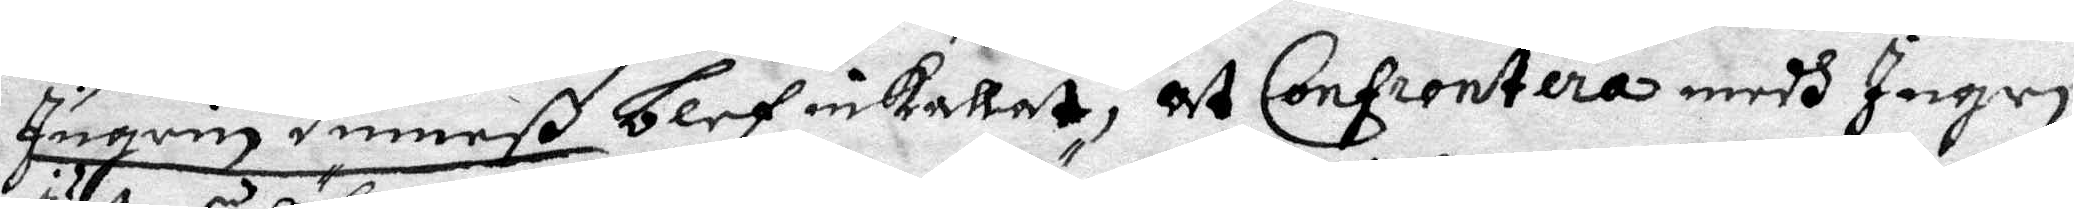Ingrin Dimarß blef inkallat, at Confrontera medh Ingri
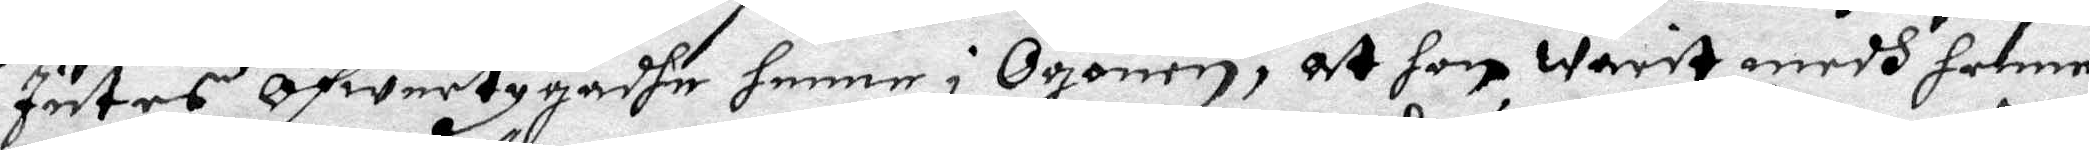Juthes öfwertygadhe henne i Ögonen, at hon warit medh henne
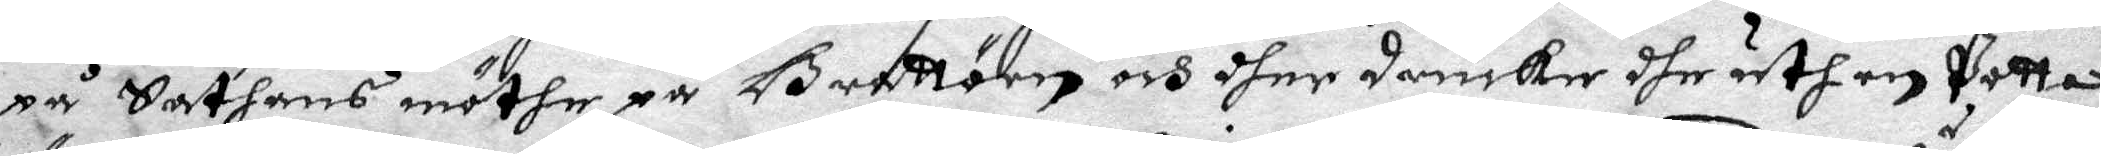på Sathans möthe på Grattön och dher drucke dhe uth en Potta
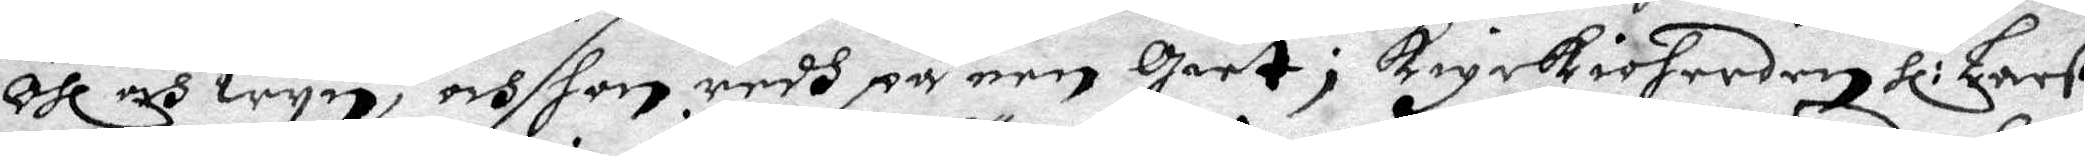öhl och wyn, och hon redh på een Giet; kyrkioherden Hl:r Larß
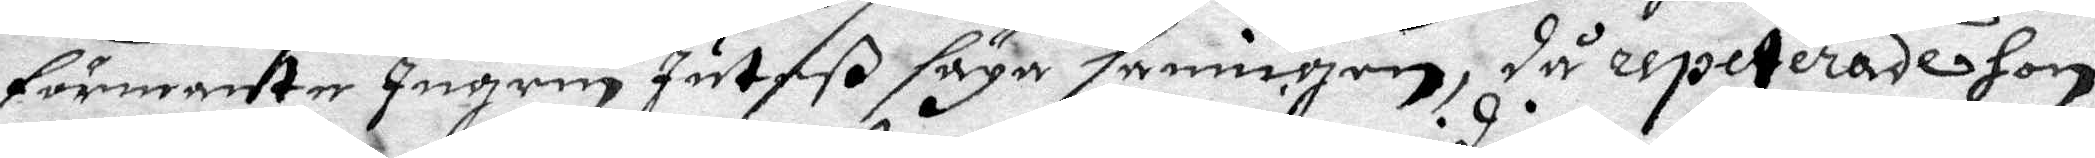förmante Ingrin Juteß säga sanningen, då repeterade hon
